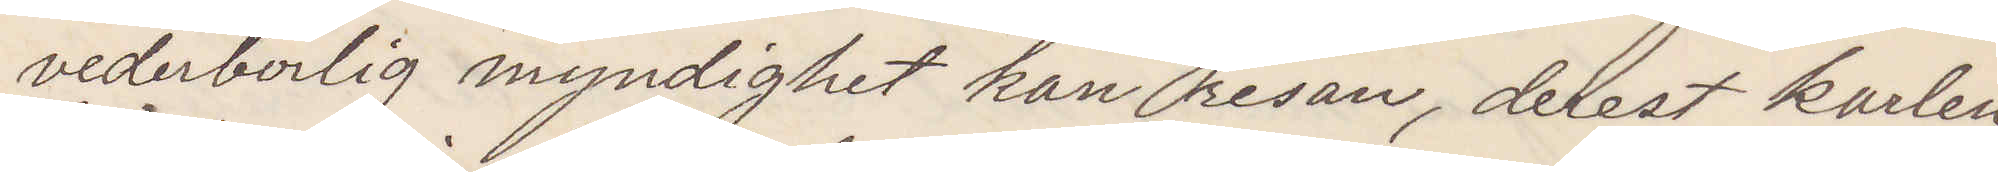vederbörlig myndighet kan person, derest karlen
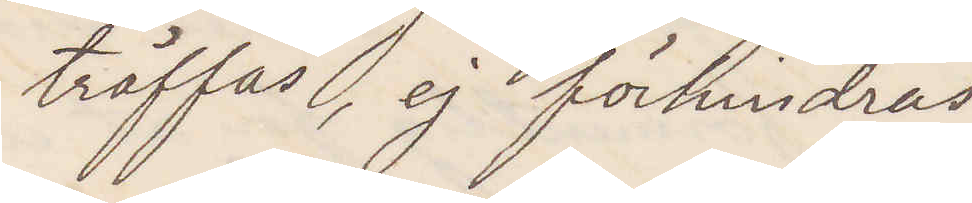träffas, ej förhindras
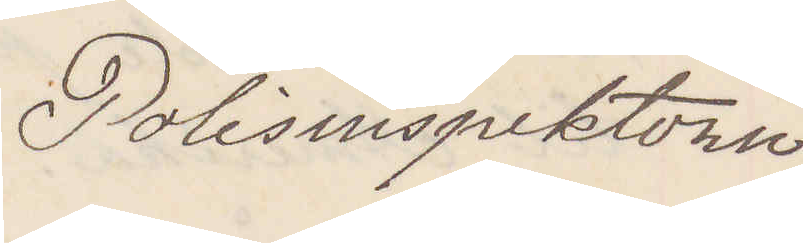Polisinspektorn
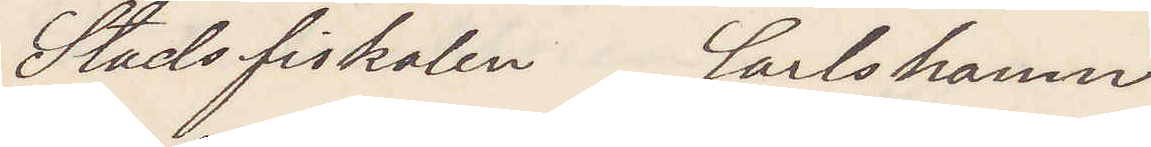Stadsfiskalen Carlshamn
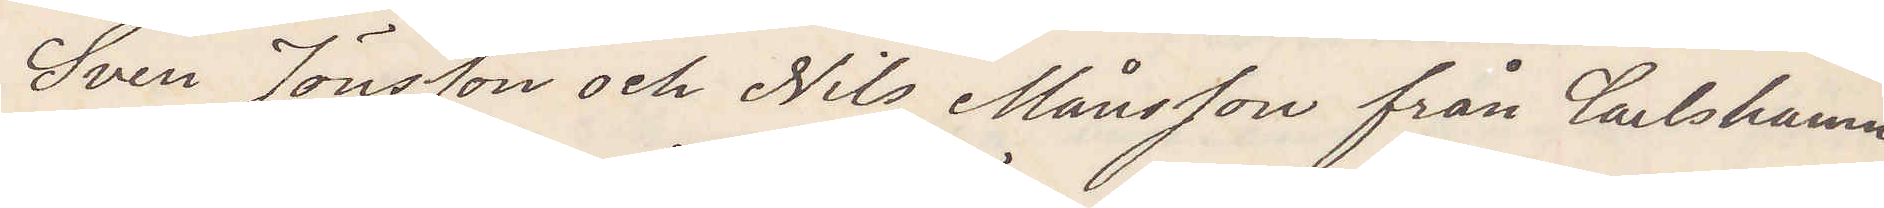Sven Jönsson och Nils Månsson från Carlshman
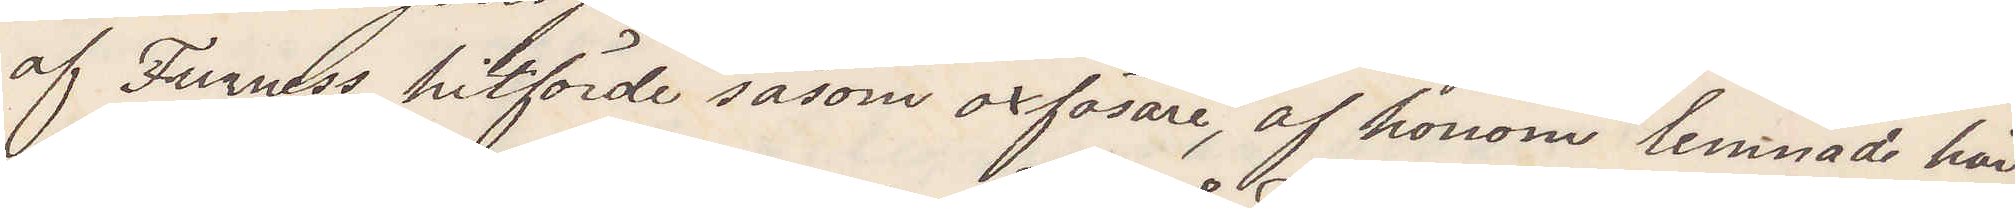af Furness hitförde såsom oxfösare, af honom lemnade här
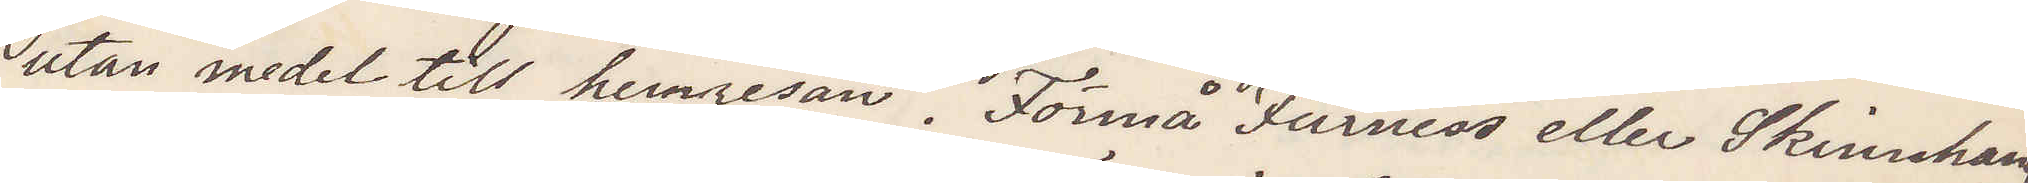utan medel till hemresan. Förmå Furness eller Skinnhand¬
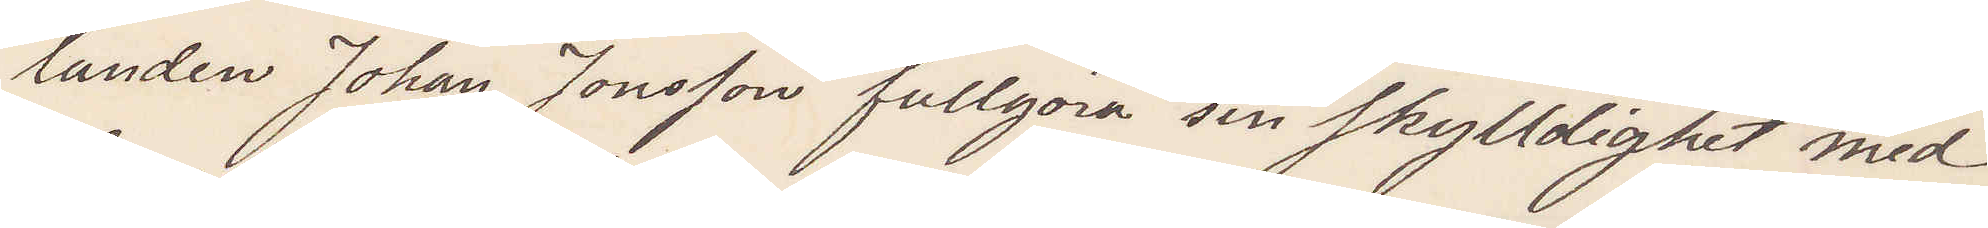landen Johan Jonsson fullgöra sin skyldighet med
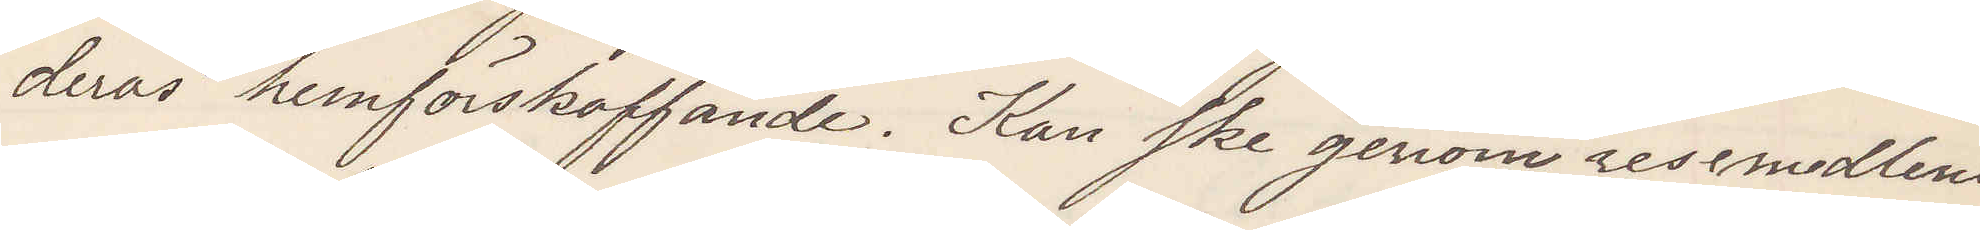deras hemförskaffande. Kan ske genom resemedlens
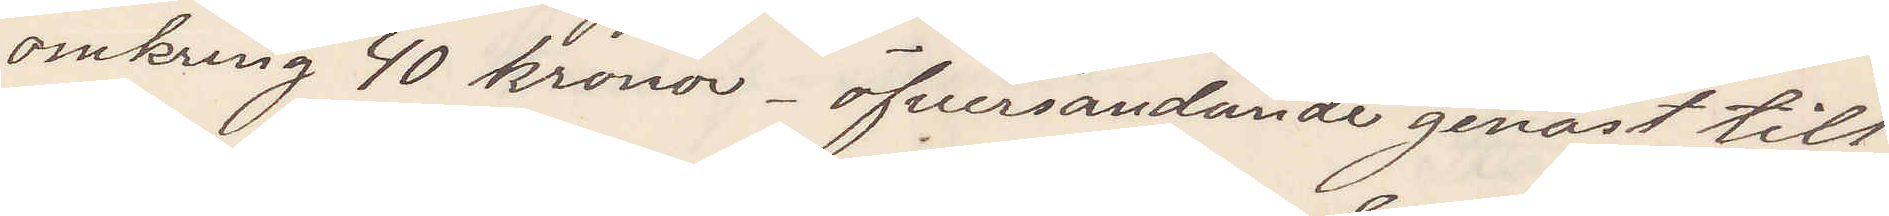omkring 40 kronor. öfversandande genast till
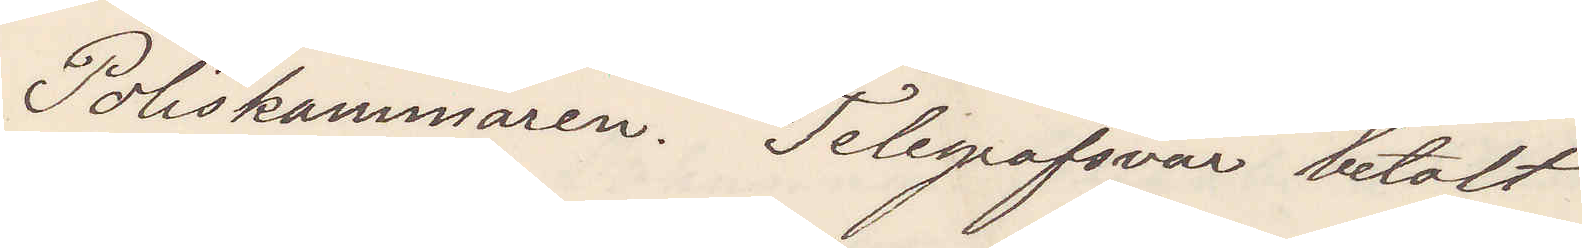Poliskammaren. Telegrafsvar betalt
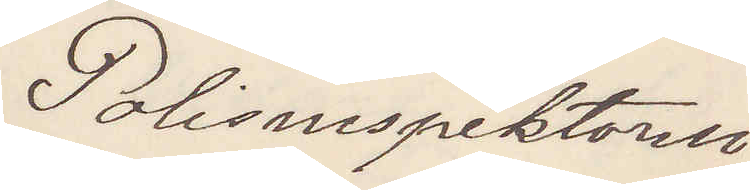Polisinspektorn
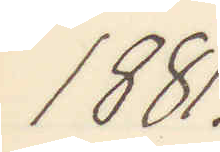1881.
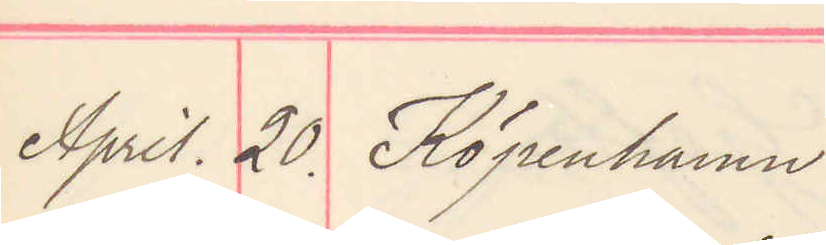April. 20. Köpenhamn
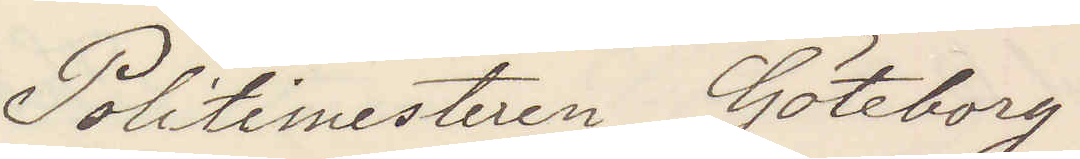Politimesteren Göteborg
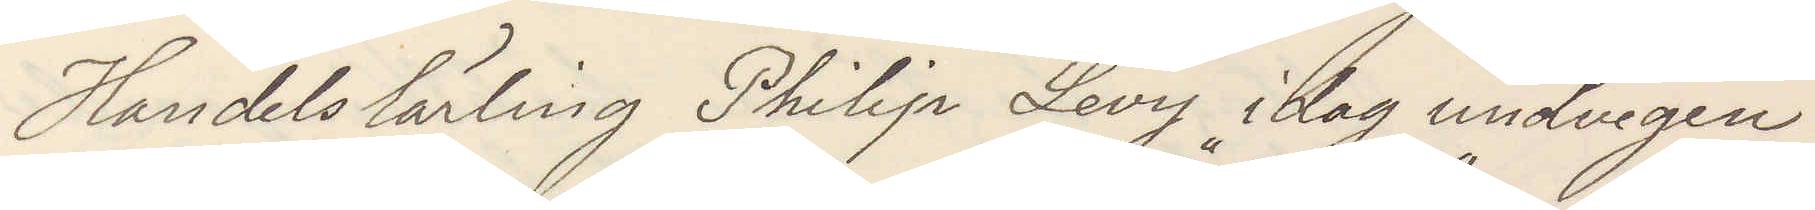Handelslärling Philip Levy idag undvegen
